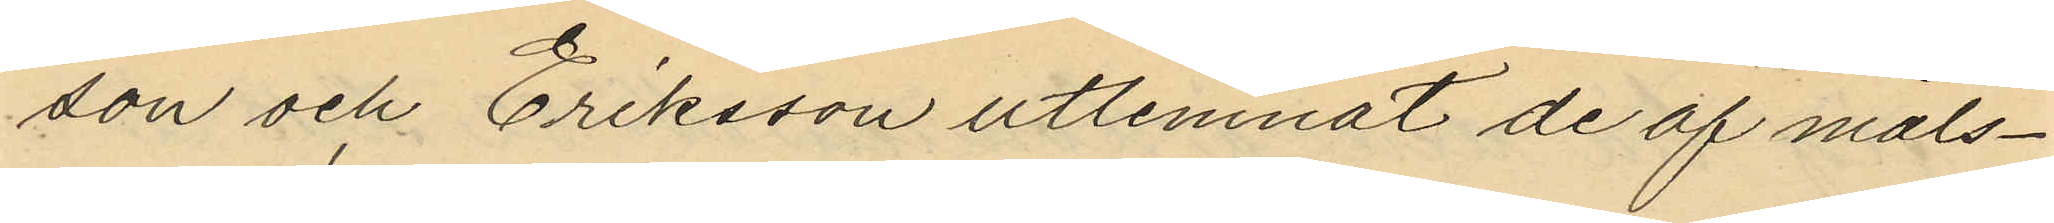son och Eriksson utlemnat de af måls¬
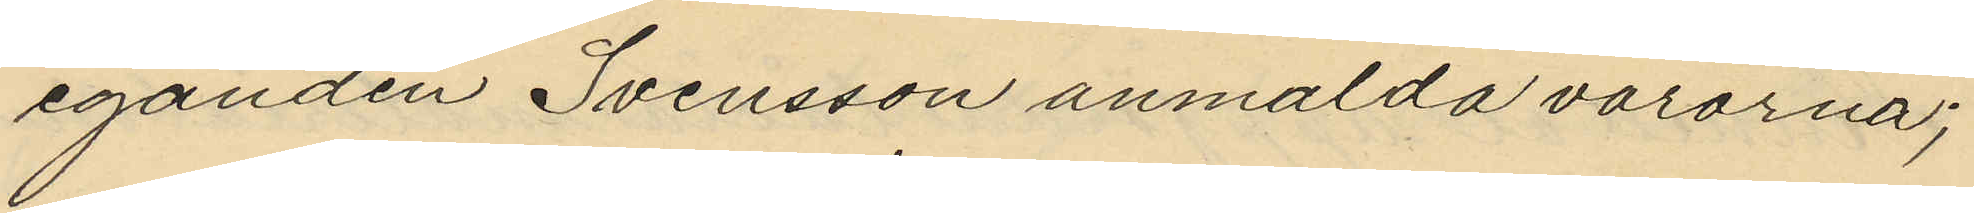eganden Svensson anmälda varorna;
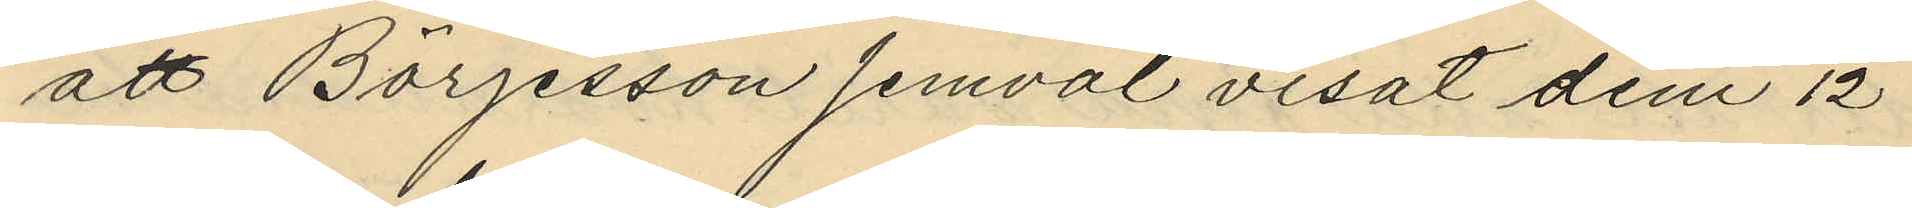att Börjesson jemväl visat den 12
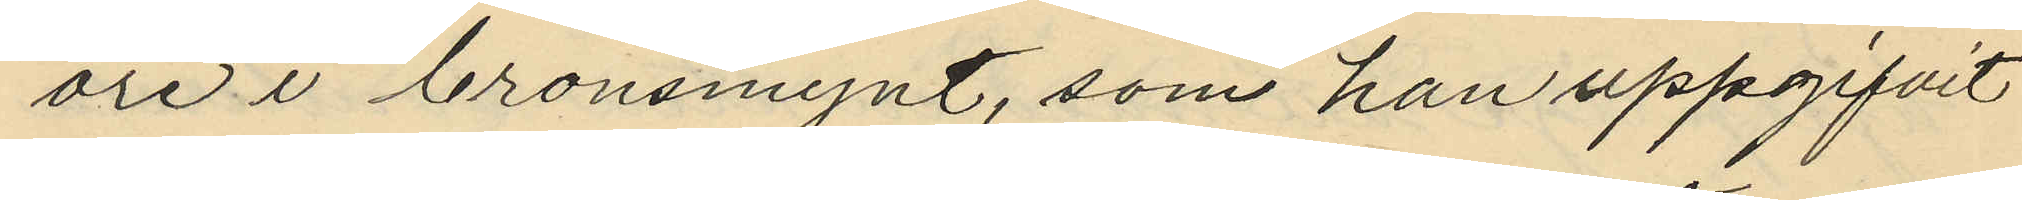öre i bronsmynt, som han uppgifvit
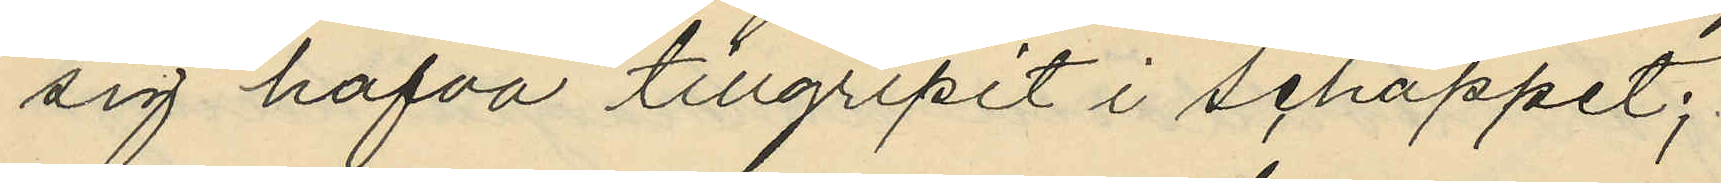sig hafva tillgripit i schappet;
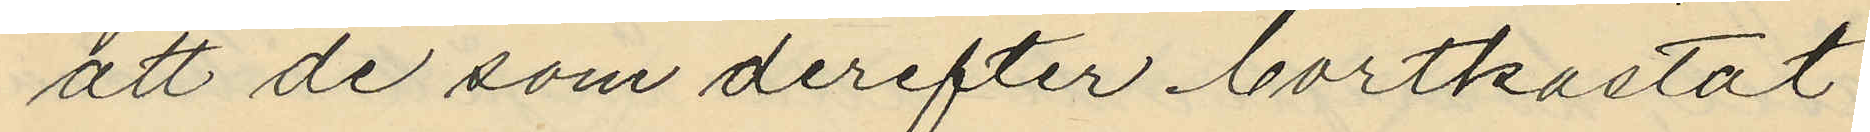att de som derefter bortkastat
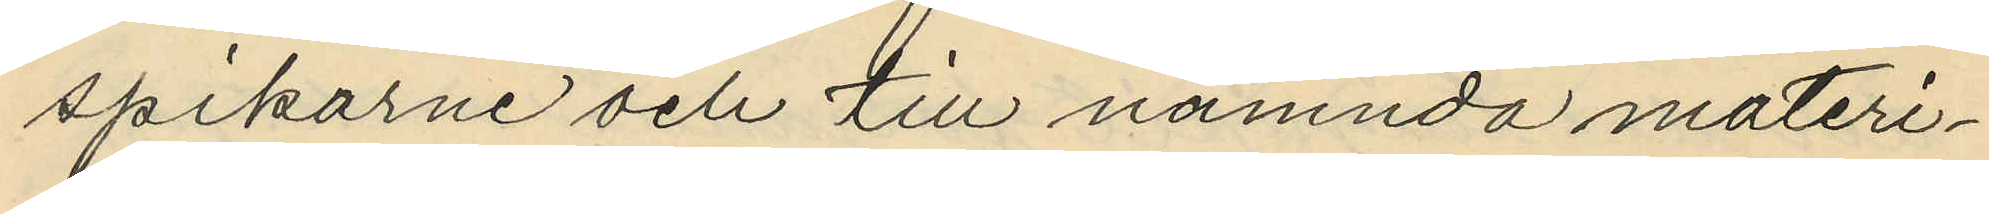spikarne och till nämnda materi¬
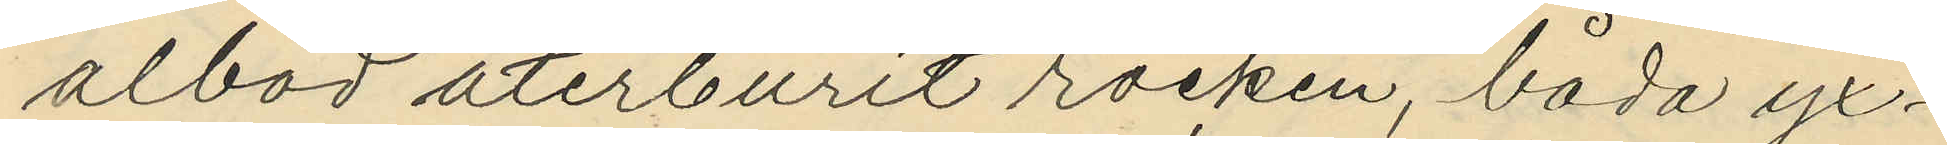albod återburit rocken, båda yx¬
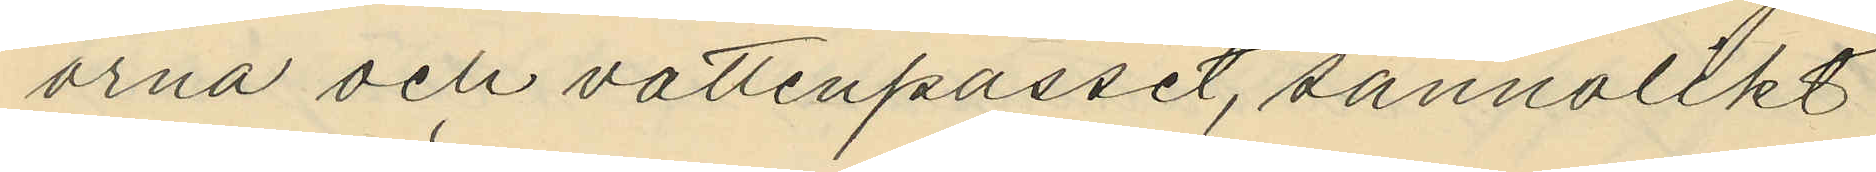orna och vattenpasset, sannolikt
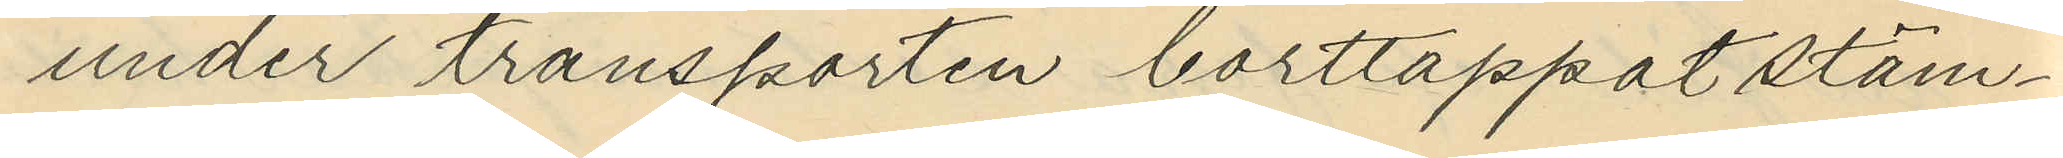under transporten borttappat stäm¬
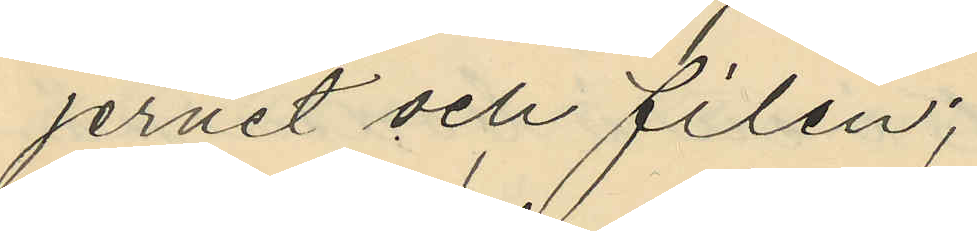jernet och filen;
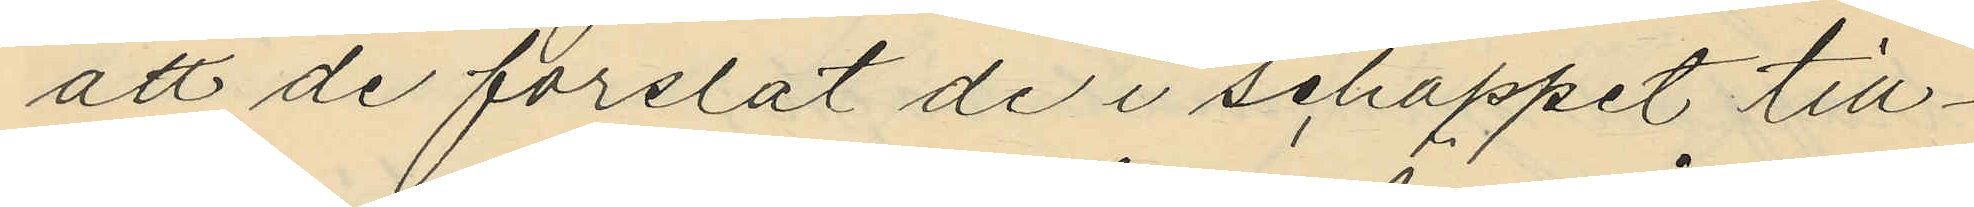att de forslat de i schappet till¬
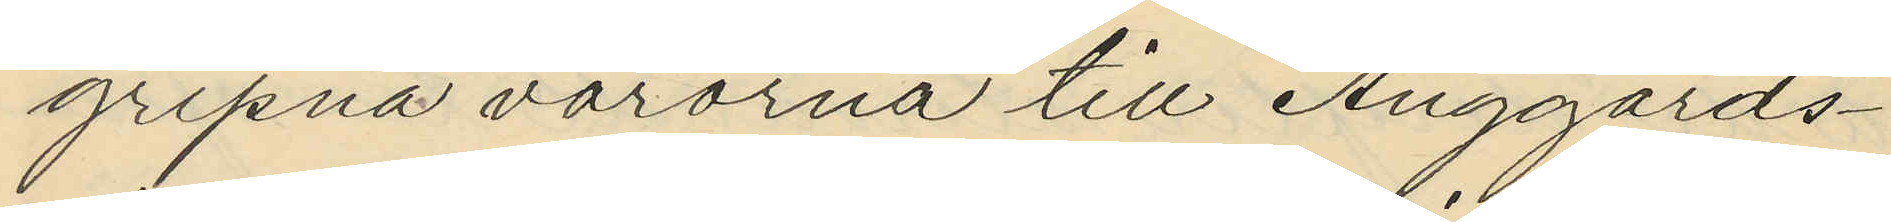gripna varorna till Änggårds¬
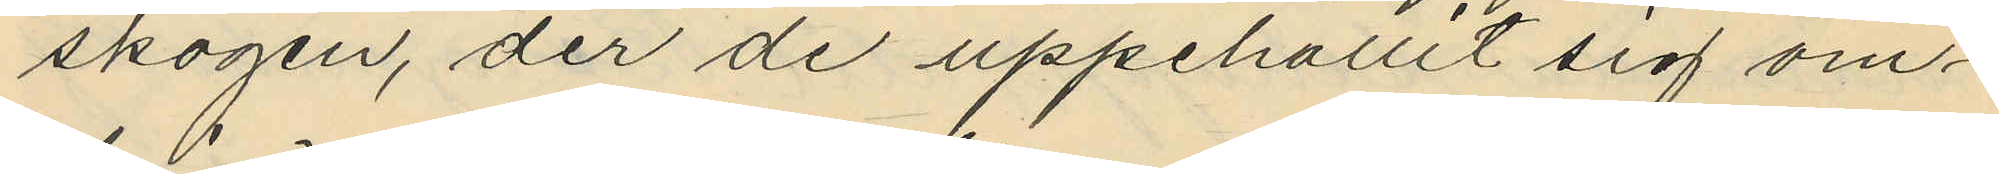skogen, der de uppehållit sig om¬
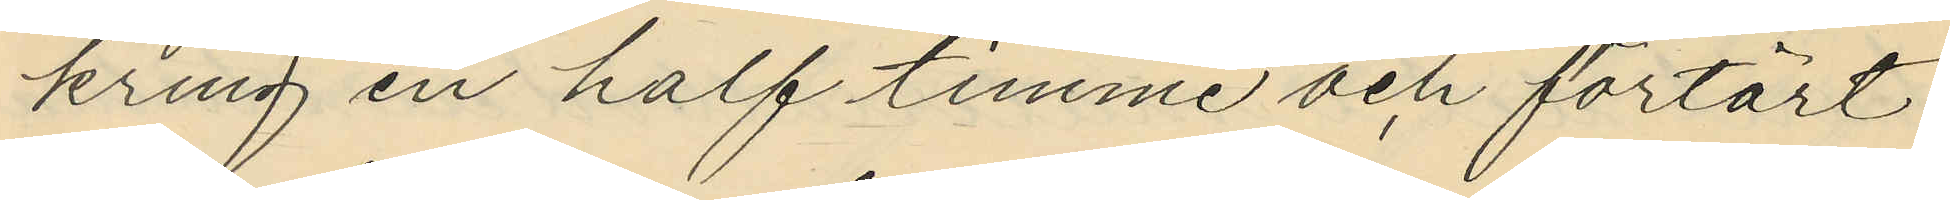kring en half timme och förtärt
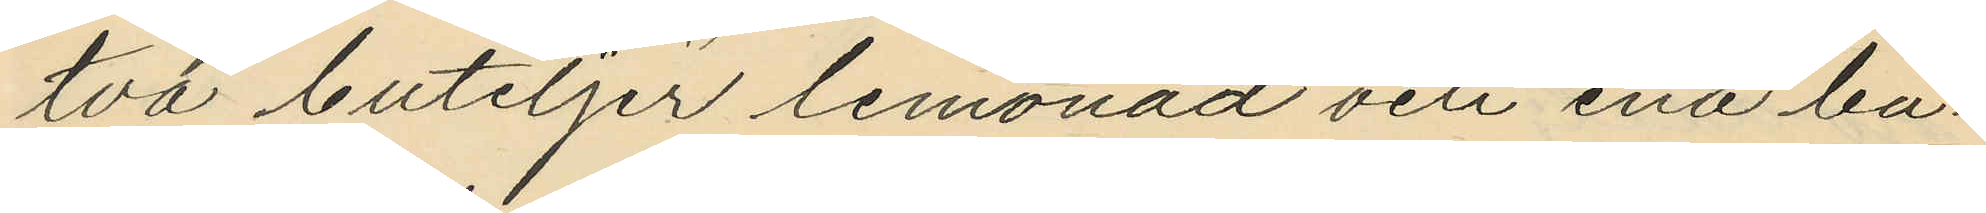två buteljer lemonad och ena bu¬
